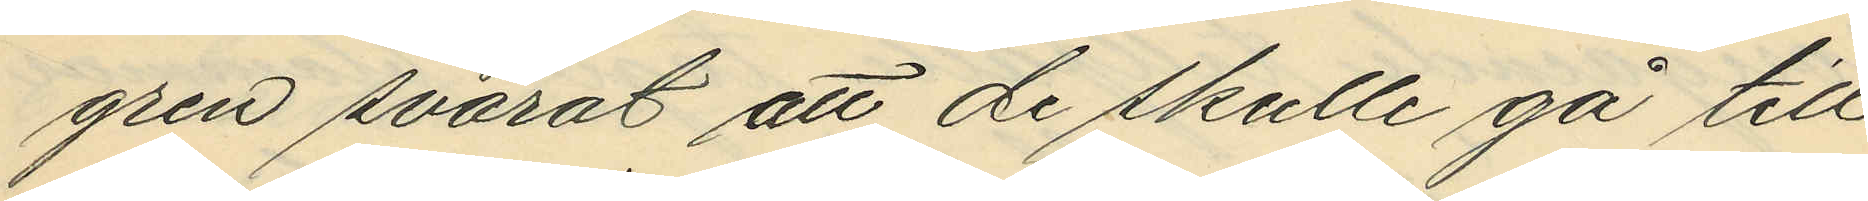gren svarat att de skulle gå till
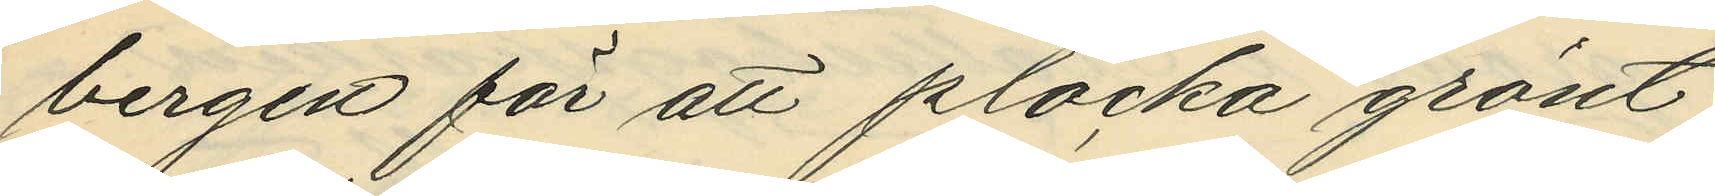bergen för att plocka grönt;
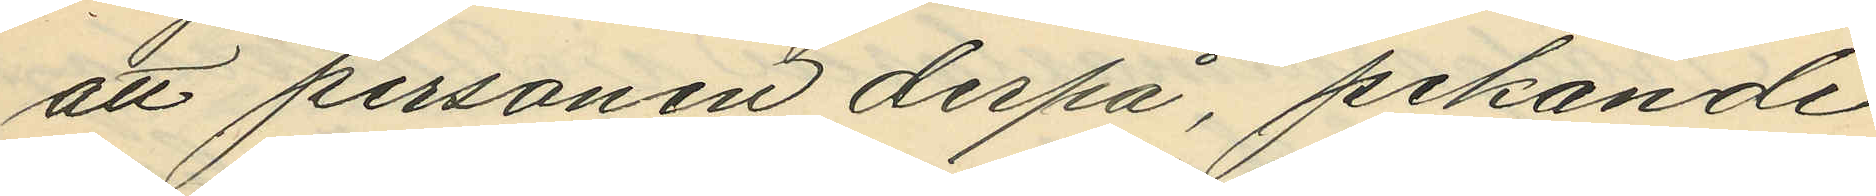att personen derpå, pekande
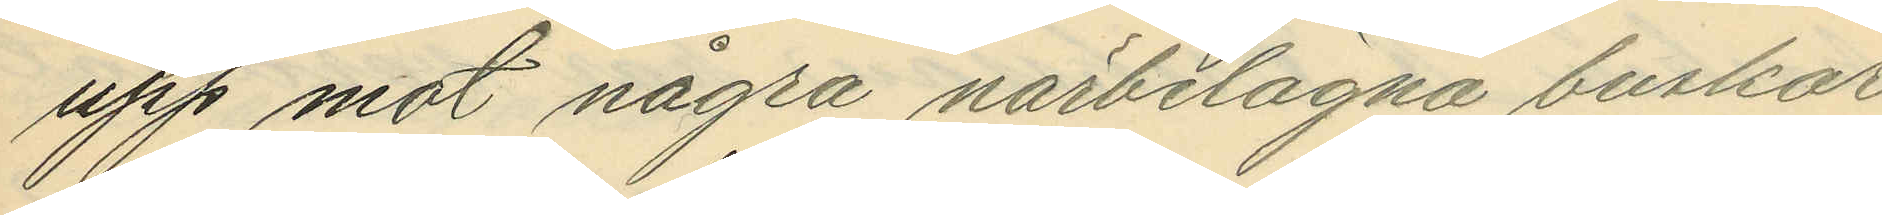upp mot några närbelagna buskar,
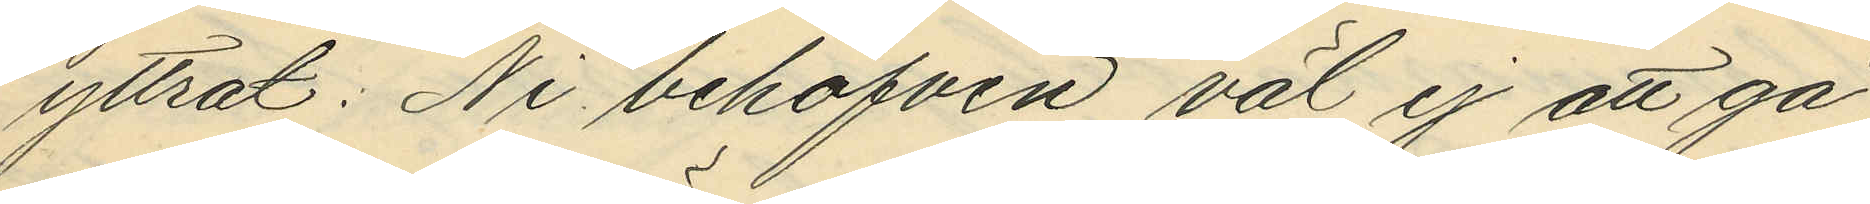yttrat: Ni behöfven väl ej att gå
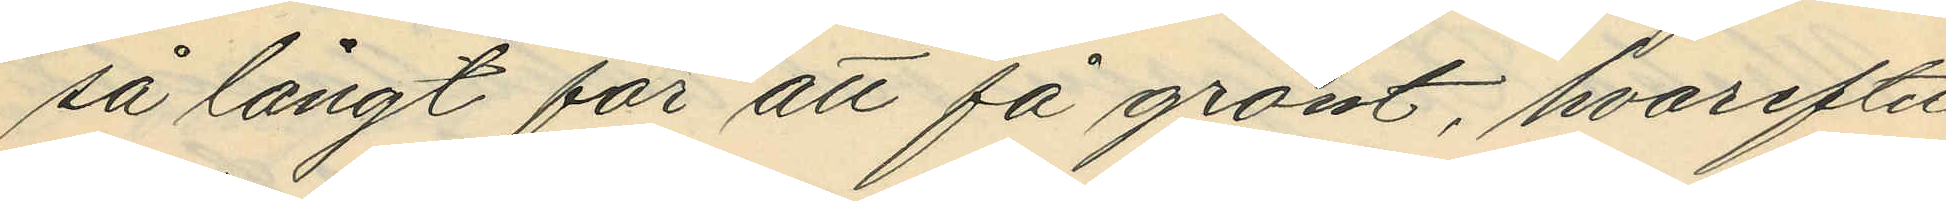så långt för att få grönt, hvarefter
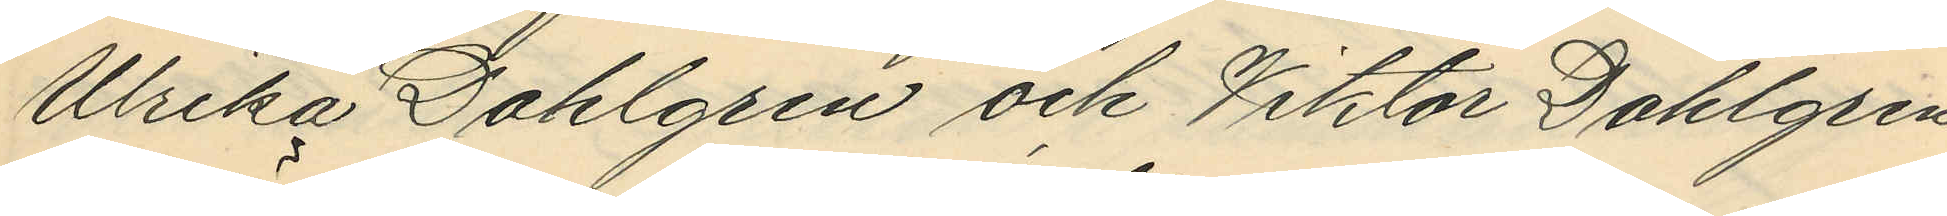Ulrika Dahlgren och Viktor Dahlgren
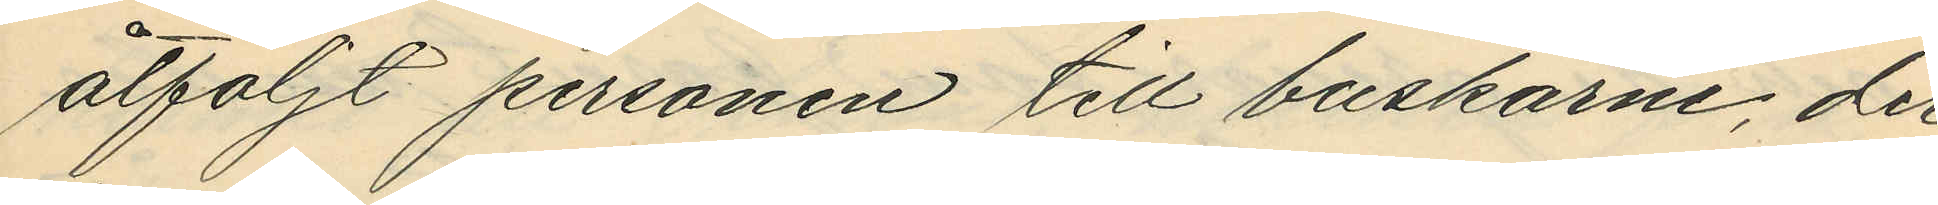åtföljt personen till buskarne, der
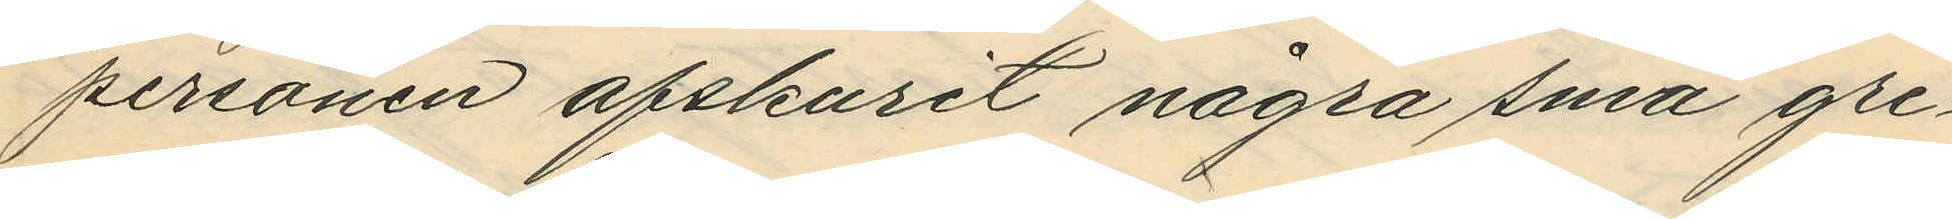personen afskurit några små gre¬
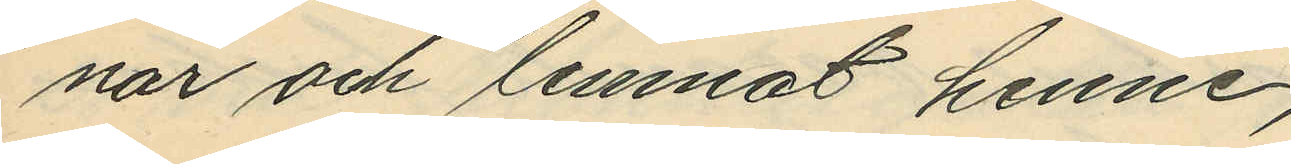nar och lemnat henne;
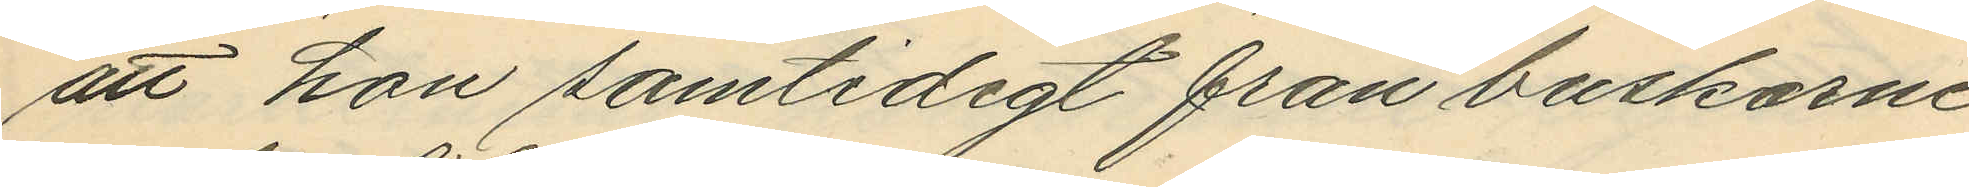att hon samtidigt från buskarne
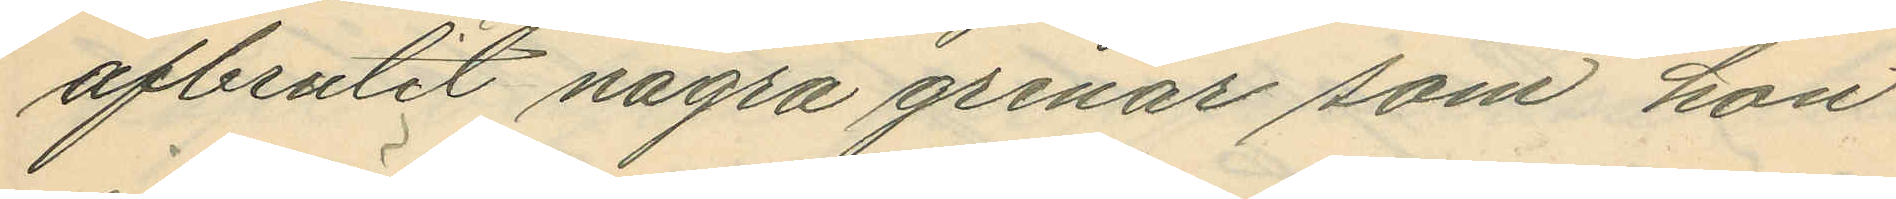afbrutit några grenar som hon
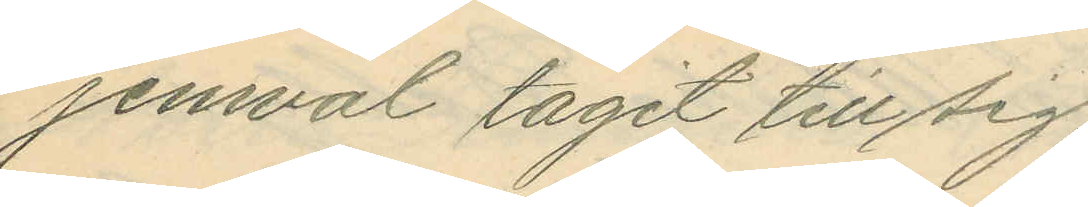jemväl tagit till sig;
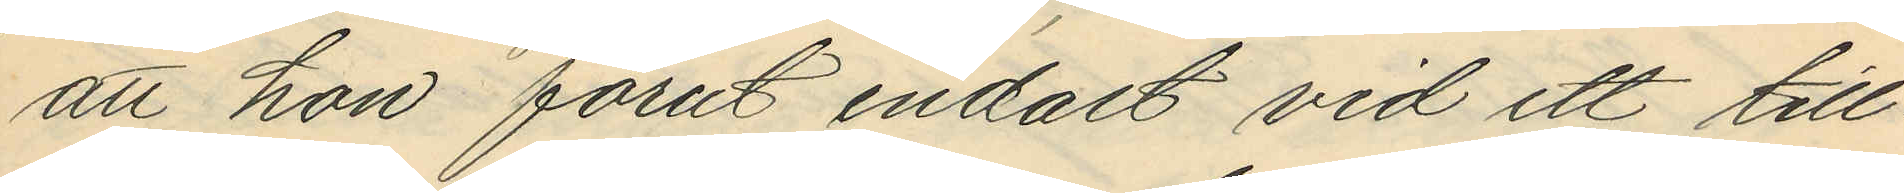att hon förut endast vid ett till¬
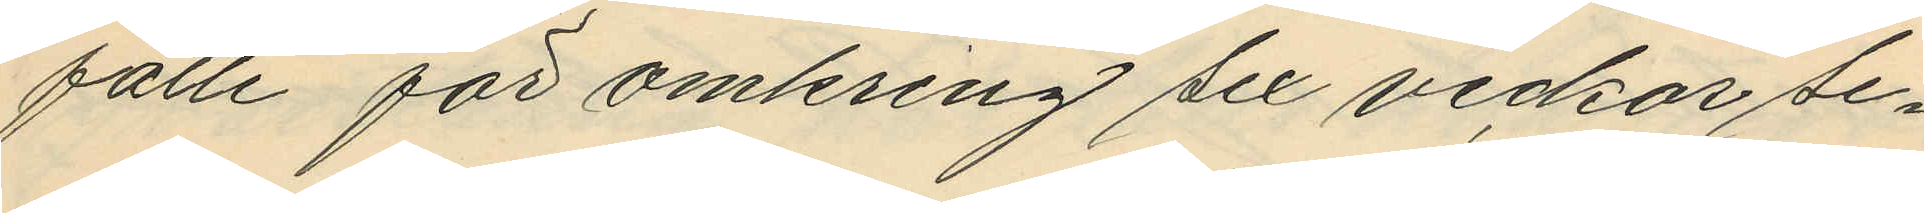fälle för omkring sex veckor se¬
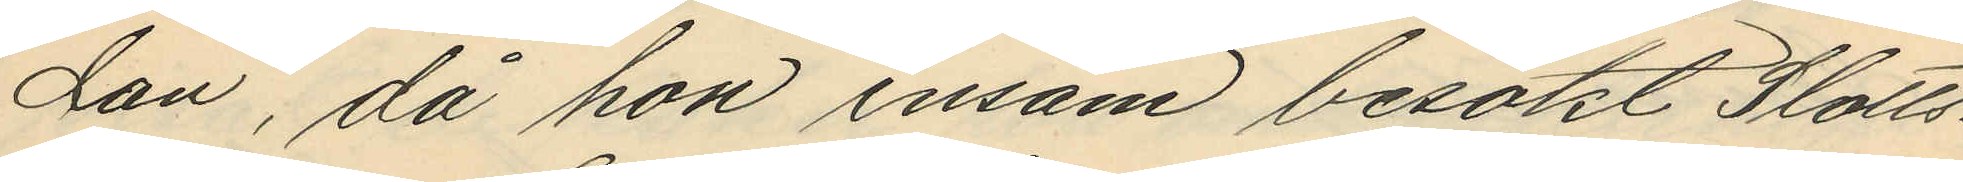dan, då hon ensam besökt Slotts¬
